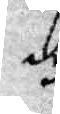dy
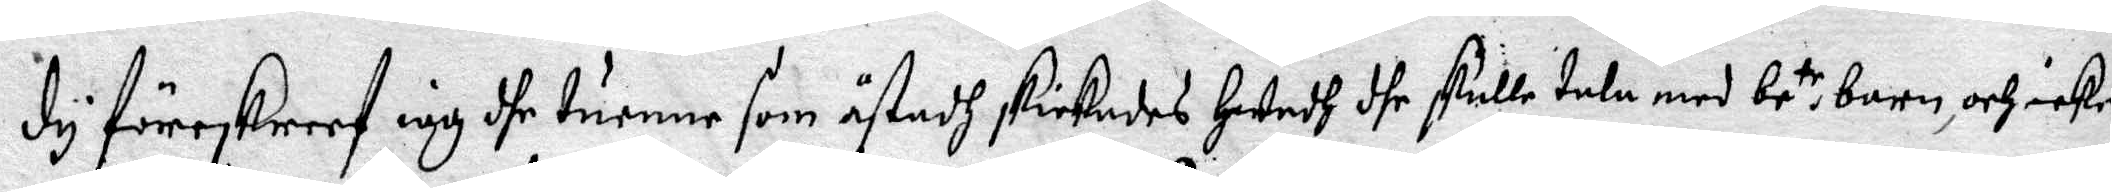dy föreskreef iag dhe turnne som åstadh skickades hwadh dhe skulle tala med be.te barn, och icke
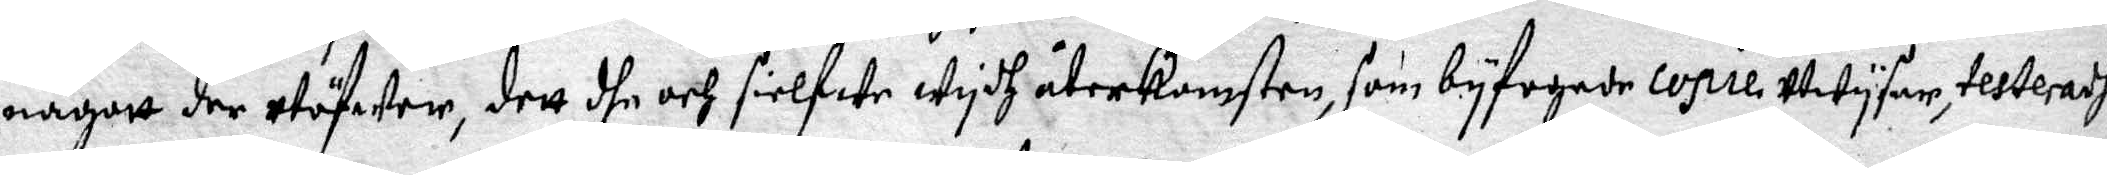någott der utöfwer, dett dhe och sielfwe wydh återkomsten, som byfogade Copie Utwysar, testeradhe.
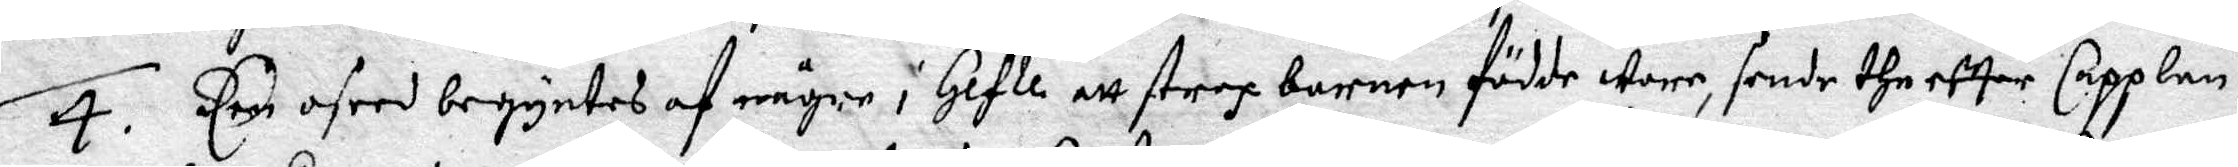4. Een oseed begyntes af någre i Gefle att strax barnen födde wore, sende the effter Capplan,
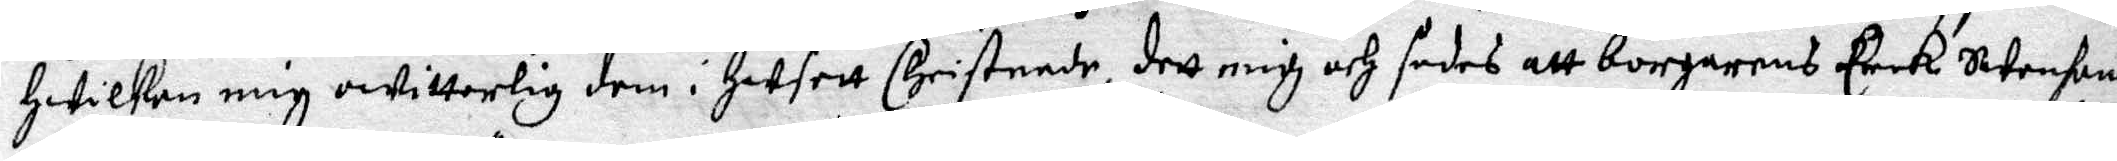hwilken mig owitterlig dem i husett Christnade, dett mig och sades att borgarens Erick Swensons
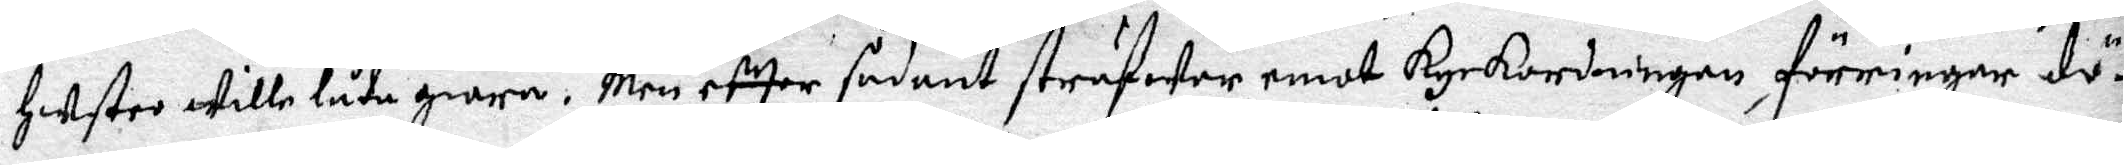hustro wille låda giöra. Men effter sådant sträfwer emot Kyrkordningen, förringar dö¬
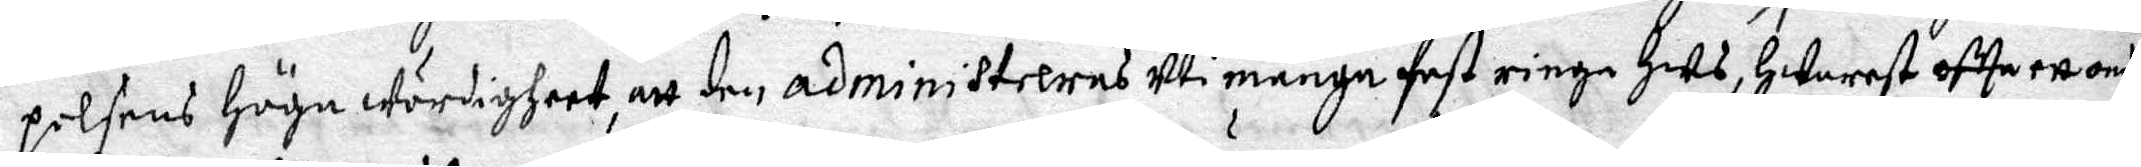pelsens Höga Wördigheet, att den administreras uti många fast ringa Hus, hwarest oftta ett ondt
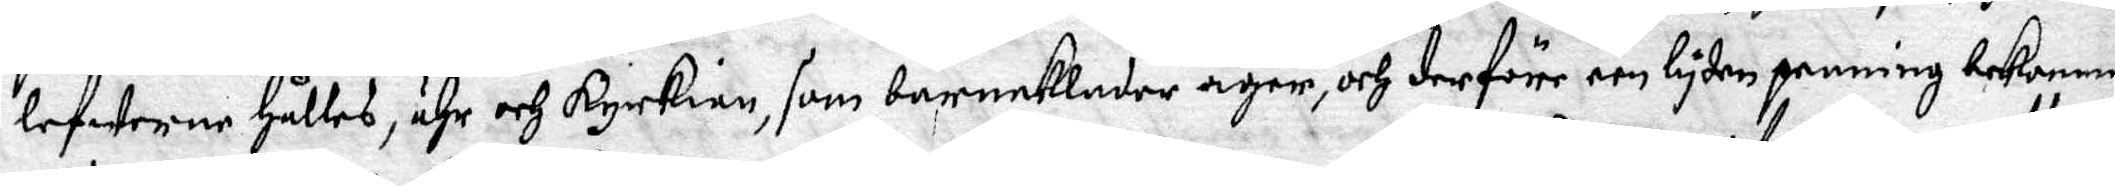lefwerne hålles, ähr och Kyrkian, som barneklader äger, och derföre een lyten penning bekomma
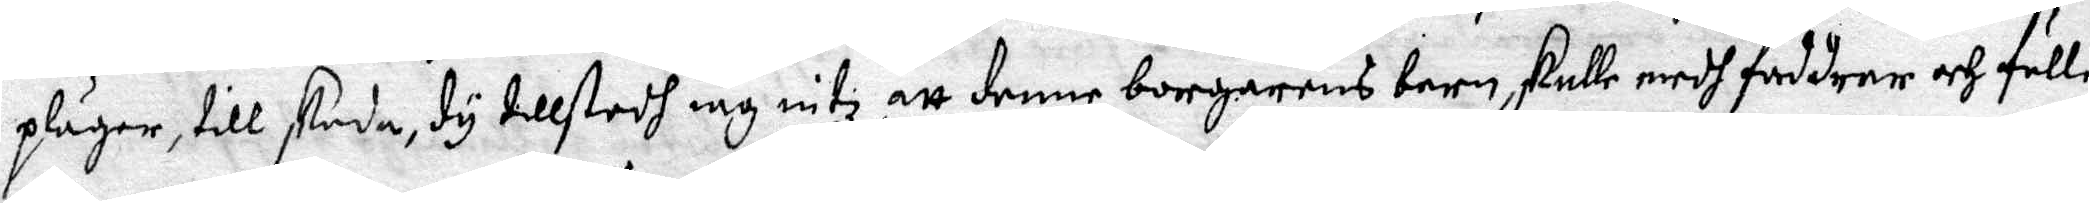pläger, till skada, dy tillstodh iag intz, att denne borgarens barn, skulle medh faddrar och fulle
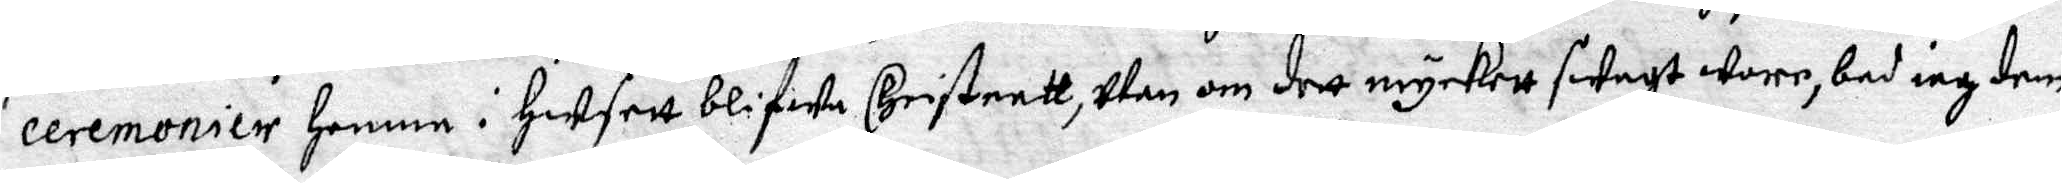ceremonier hemme i husett blifwa Christnatt, utan om dett myckett swagt wore, bad iag dem,
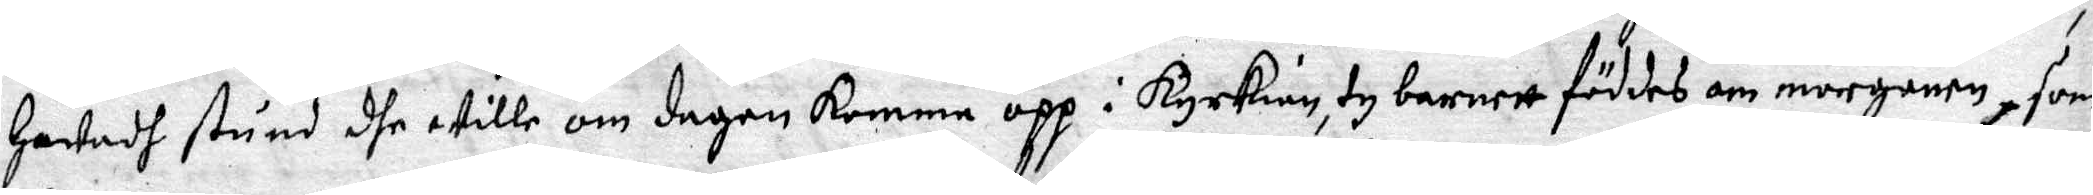hwadh stund dhe wille om dagen komma opp i Kyrkian, ty barnett föddes om morganen, som
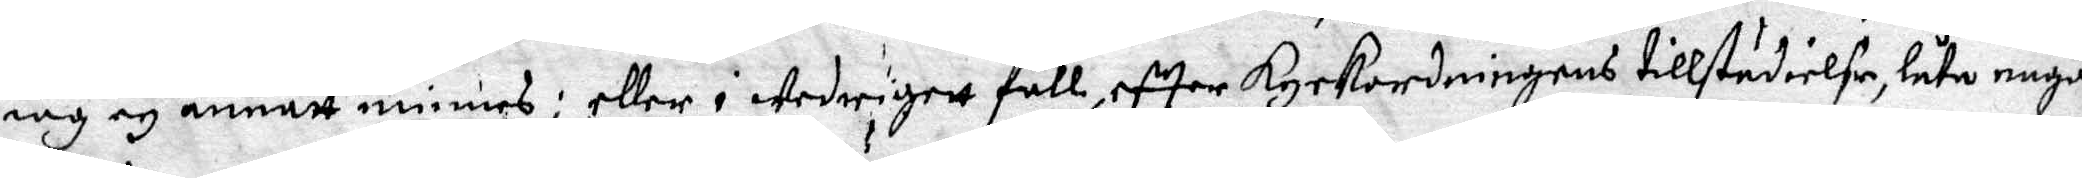iag en annatt minnes; eller i wedrigett fall, efter Kyrkordningens tillstädielse, låta någon
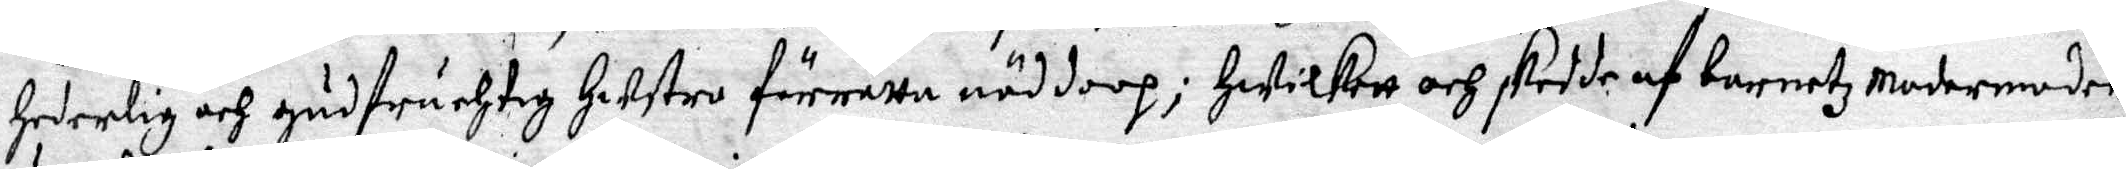hederlig och gudfruchtig hustro förrätta nöddoop; Hwilkett och skedde af barnetz Modermoder,
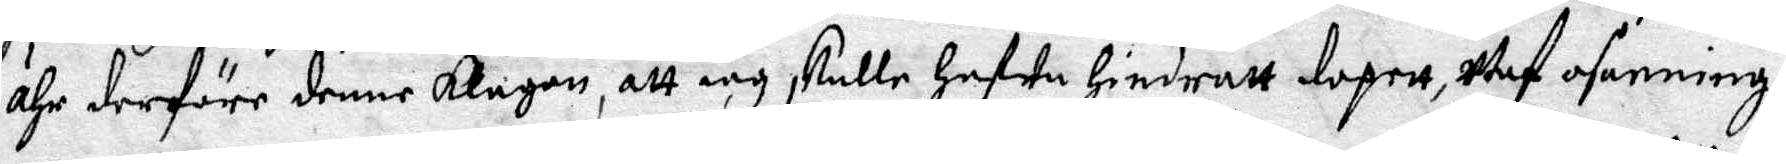ähr derföre denne klagan, att iag skulle hafwa hindratt dopett, Utaf osanning.
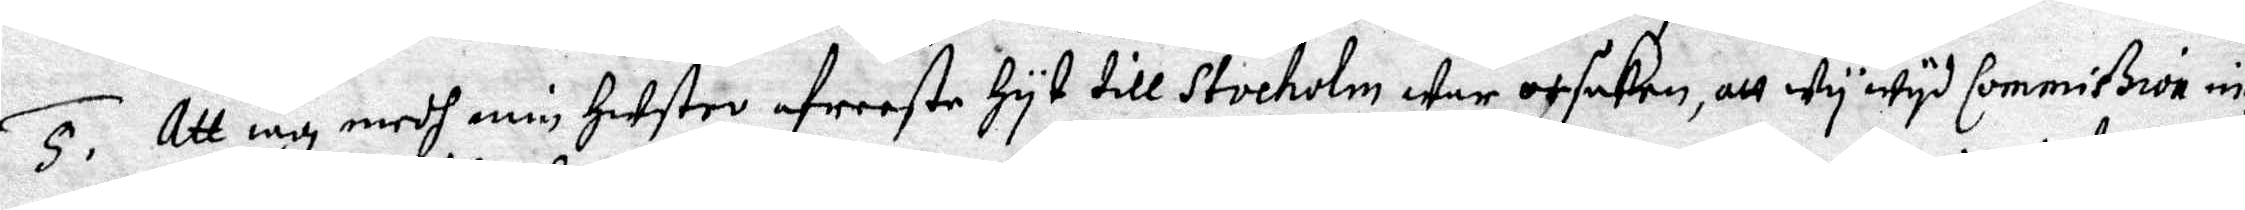5. Att iag medh min Hustro afreeste hyt till Stocholm war opsaken, att wy wyd Commißion intz
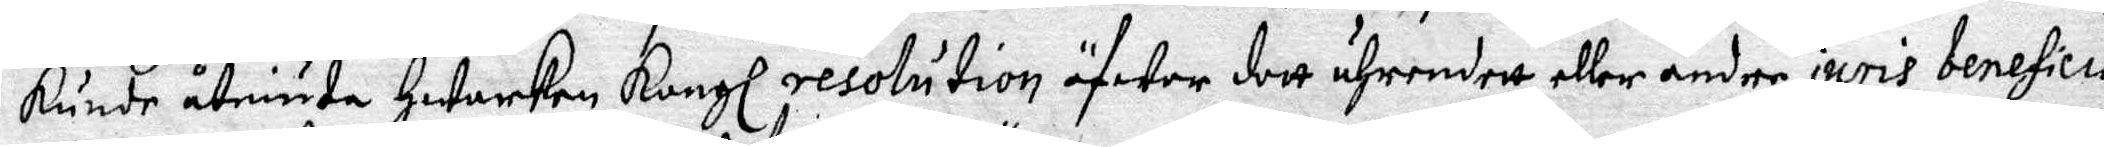kunde åtniuta Hwarken Kongl resolution öfwer dett ährendett eller andre ijuris beneficia.
